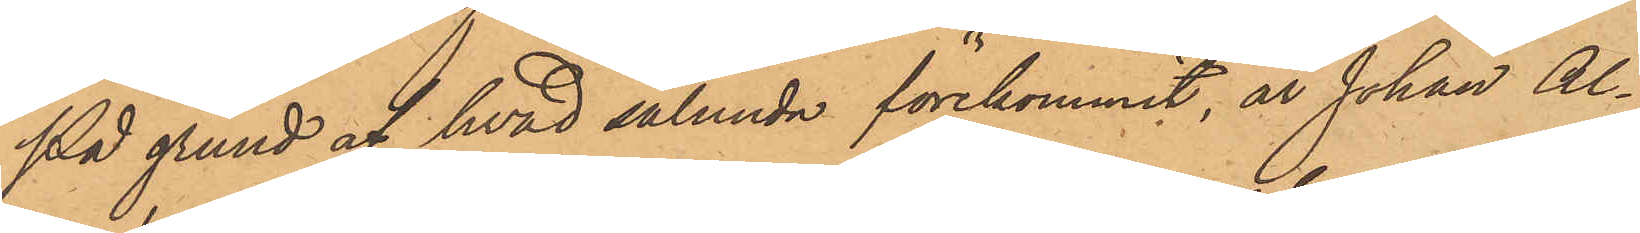På grund af hvad sålunda förekommit, är Johan Al¬
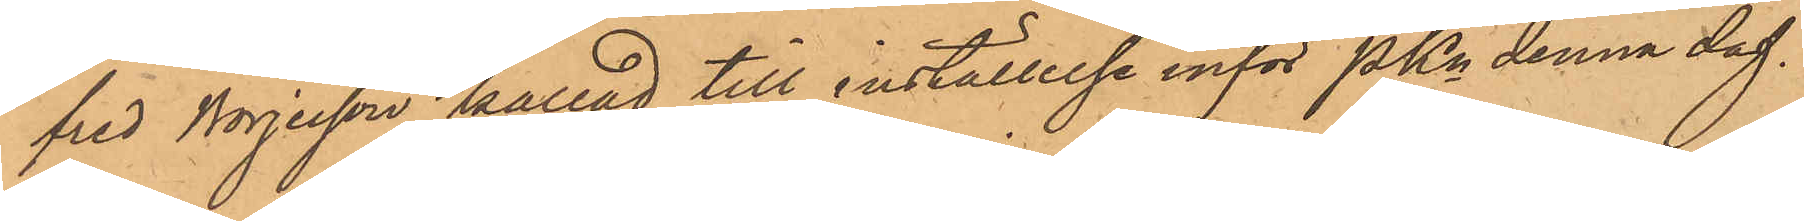fred Börjesson kallad till inställelse inför Pkn denna dag.
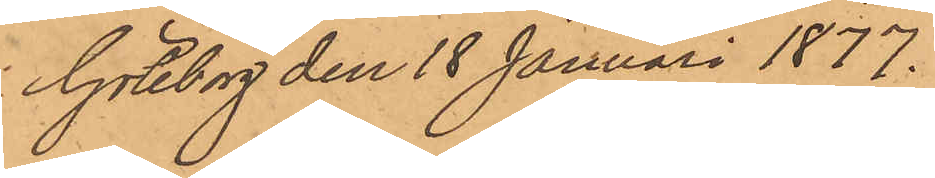Göteborg den 18 Januari 1877.
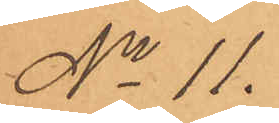No 11.
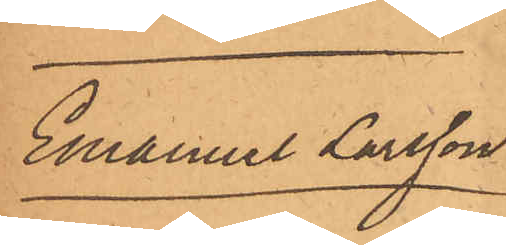Emanuel Larsson
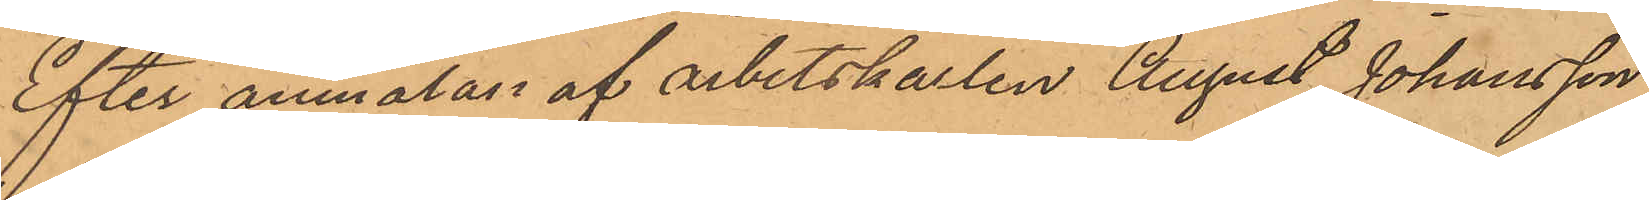Efter anmälan af arbetskarlen August Johansson
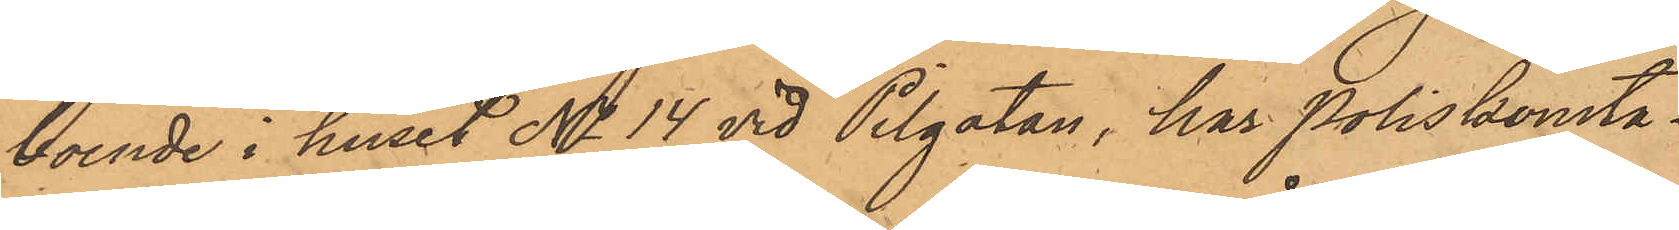boende i huset No 14 vid Pilgatan, har Poliskonsta¬
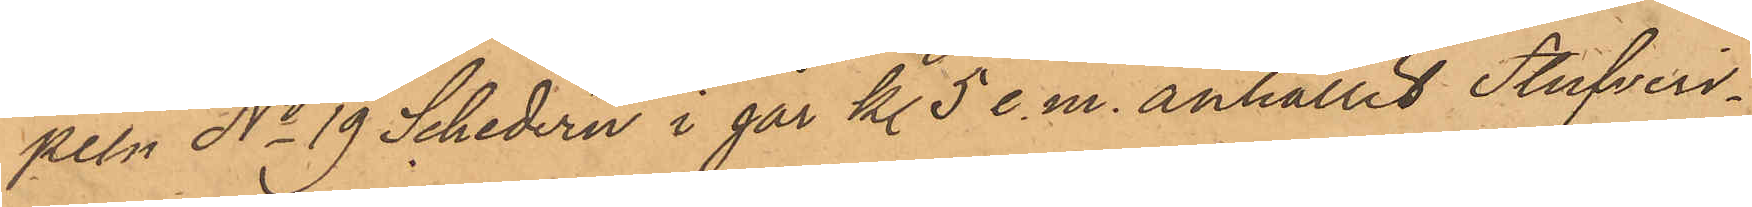peln No 19 Schedirn i går kl. 5 e. m. anhållit Stufveri¬
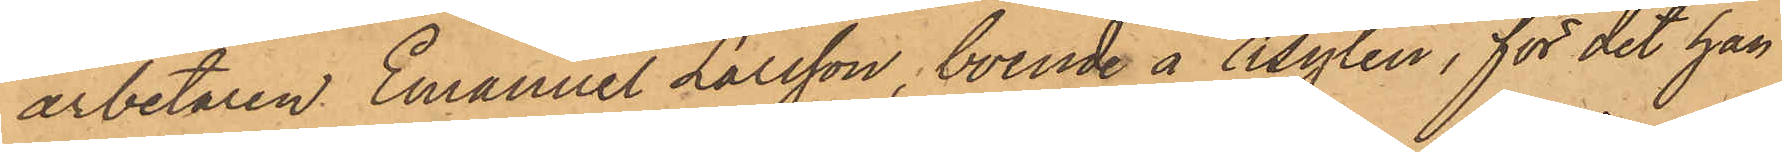arbetaren Emanuel Larsson, boende å Asylen, för det han
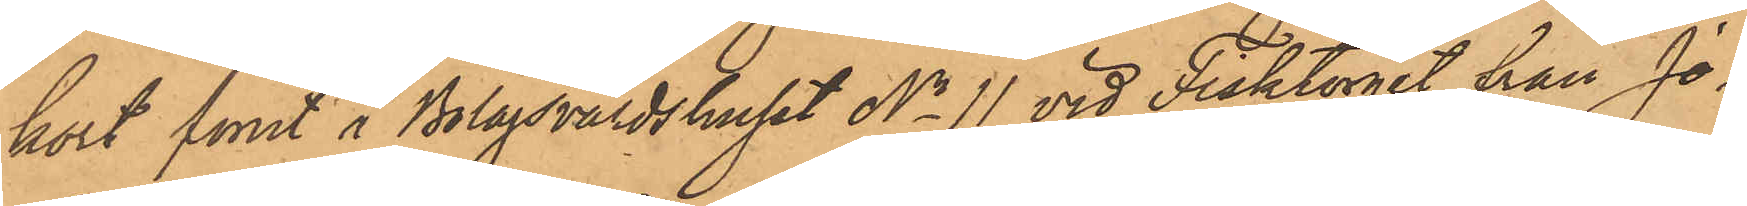kort förut å Bolagsvärdshuset No 11 vid Fisktorget från Jo¬
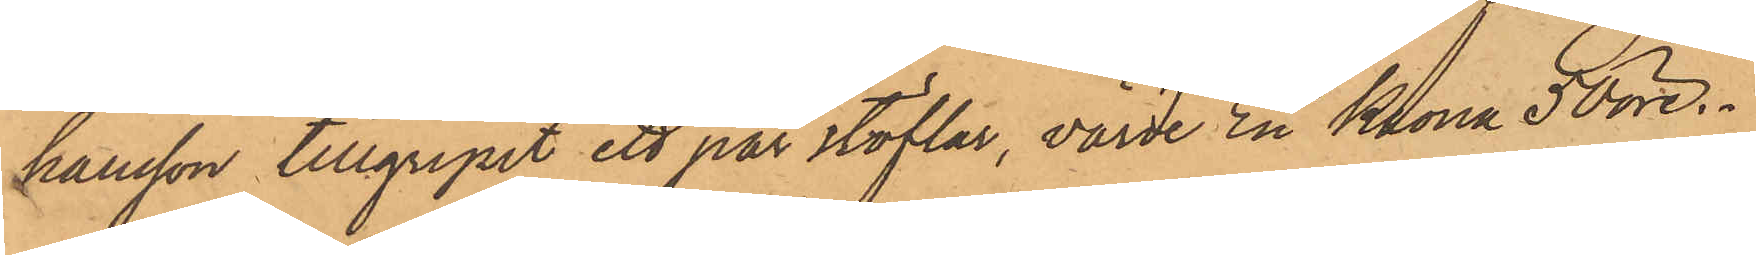hansson tillgripit ett par stöflar, värde En Krona 50 öre.
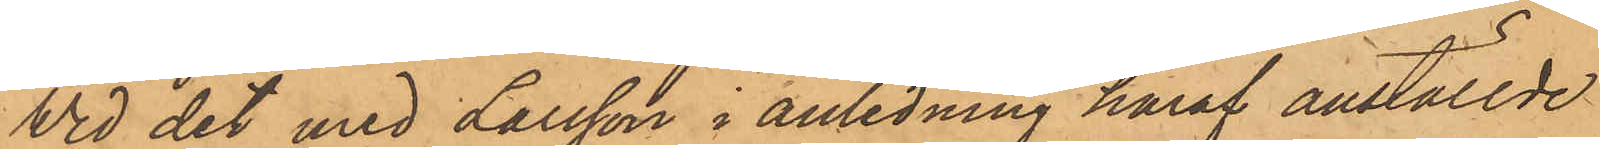Wid det med Larsson i anledning häraf anställde
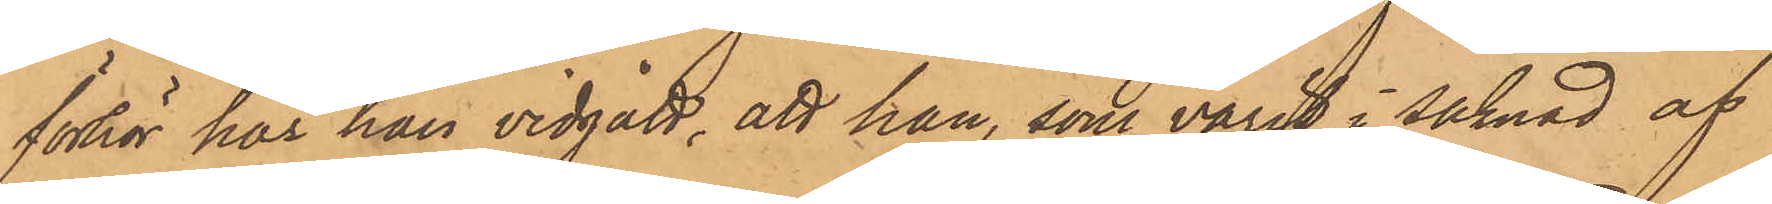förhör har han vidgått, att han, som varit i saknad af
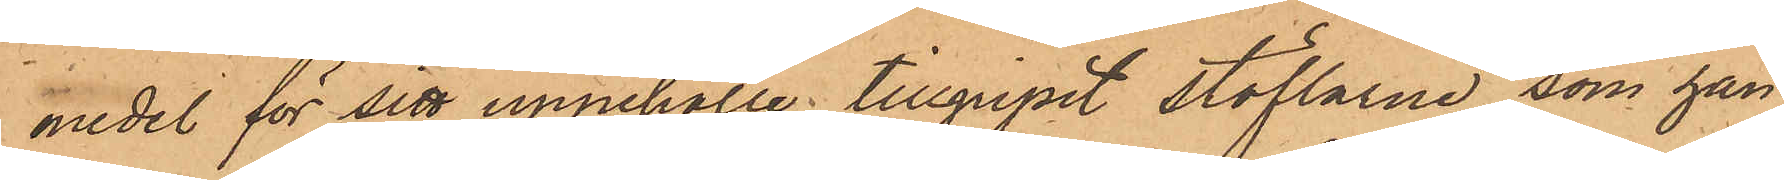medel för sitt uppehälle tillgripit stöflarne, som han
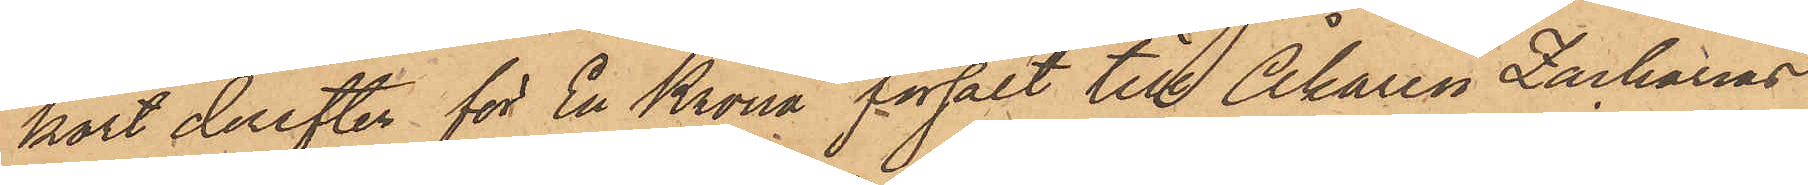kort derefter för En Krona försålt till Åkaren Zacharias
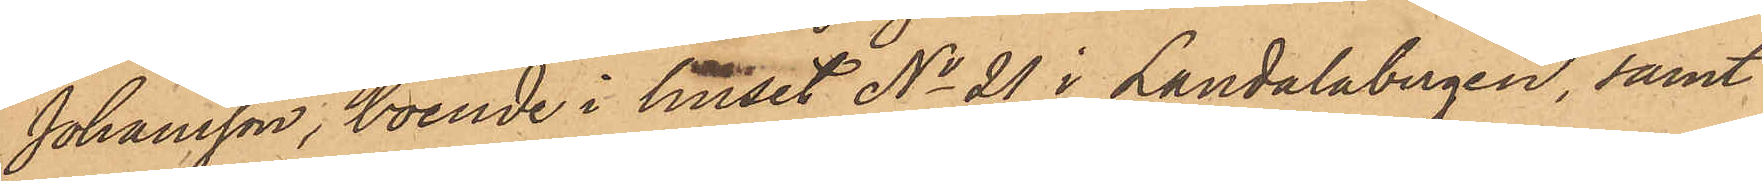Johansson, boende i huset No 21 i Landalabergen, samt
